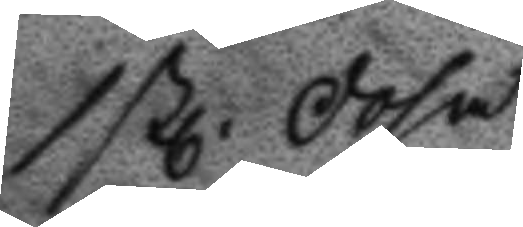1 stl Dosa
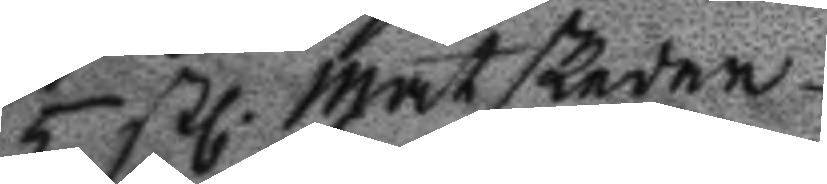5 stl Matskedar
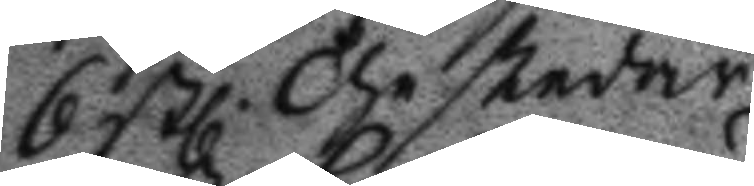6 stl Theskedar
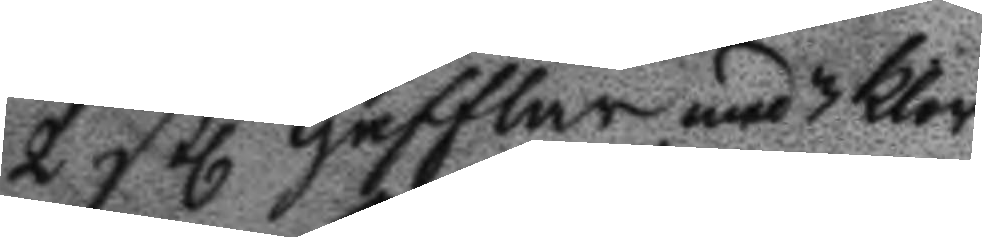2 stl Gafflar med 3 klor
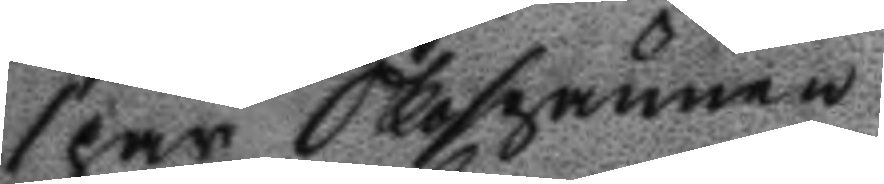1 par Skospännen
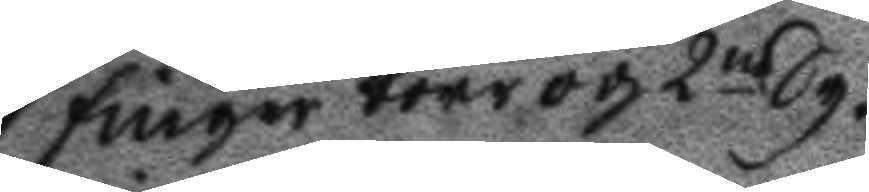1 finger borr och 2ne Sy¬
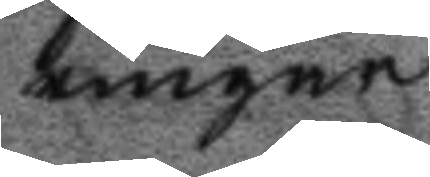ringar
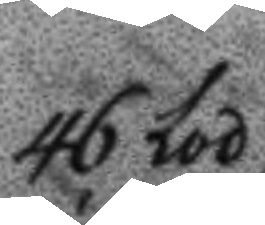46 Lod
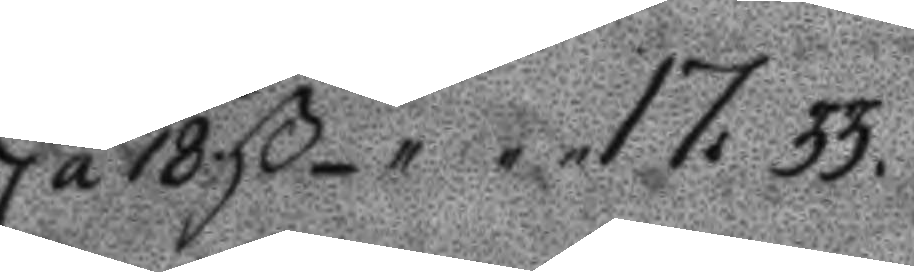á 18 ß 17.33.
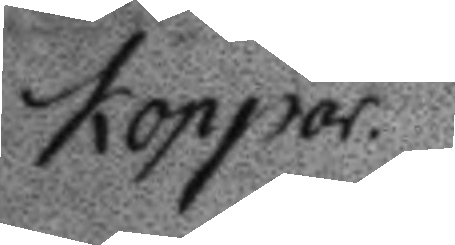Koppar
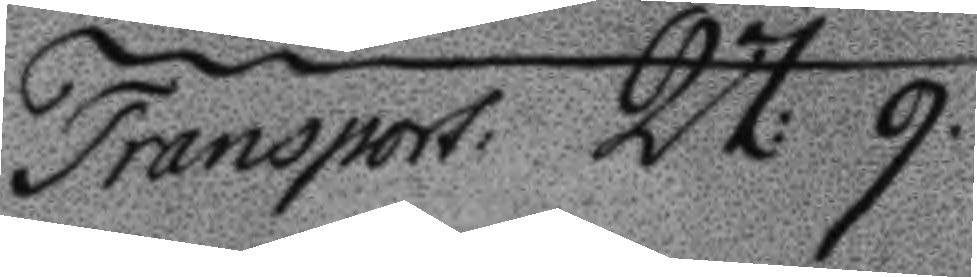Transport 27: 9.
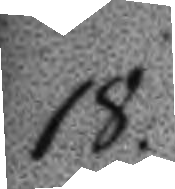18.
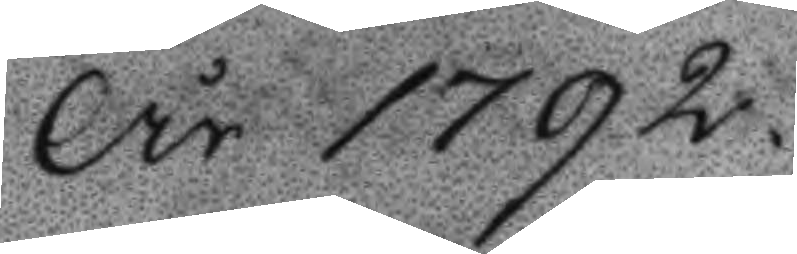År 1792
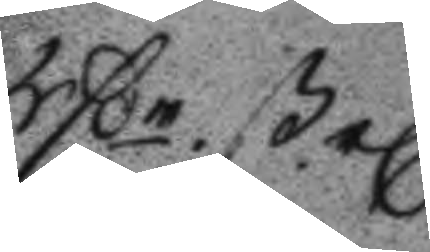Rßr ßel
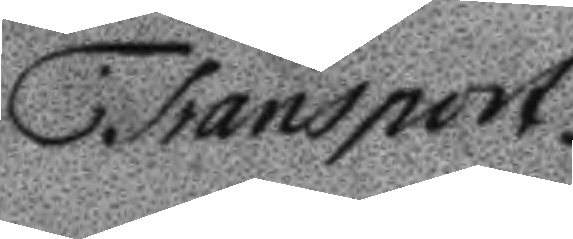Transport
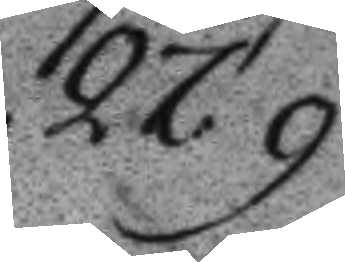27:9.
